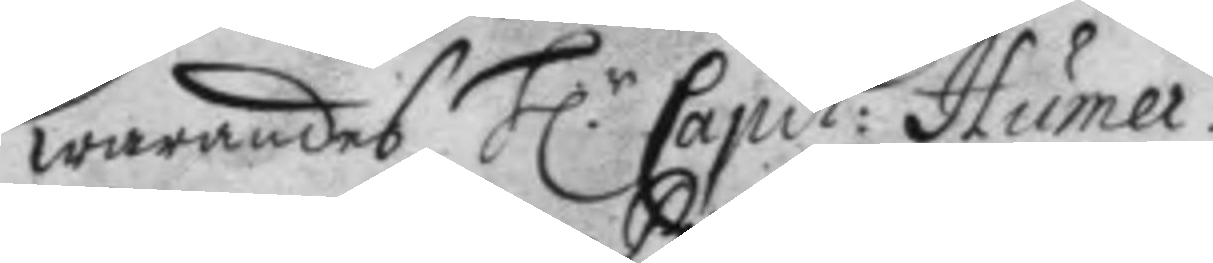warandes H:r Capit: Humer. 
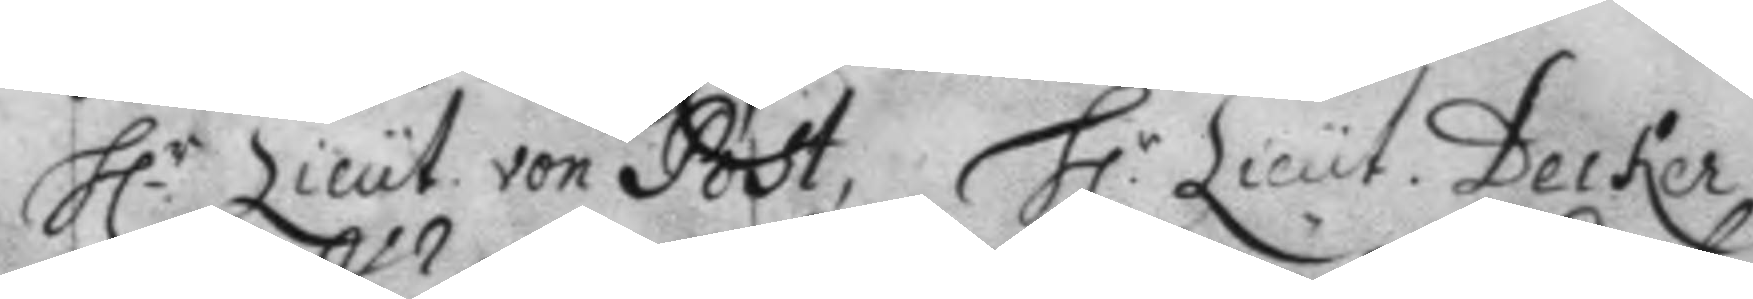H.r Lieut. von Post, H.r Lieut. Becker 
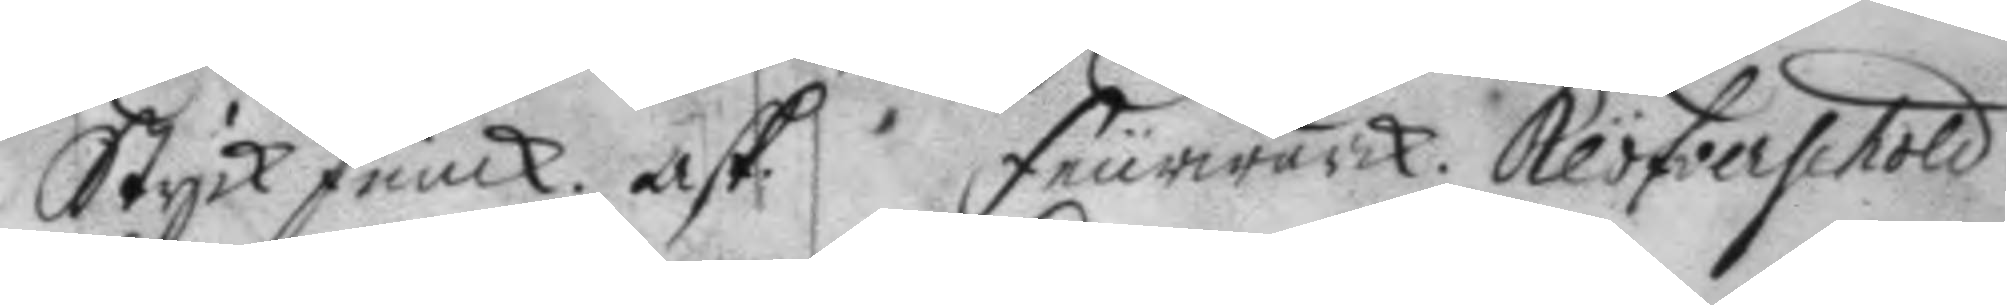StyckJunck. Ask. Feurwärck. Klöfverschold
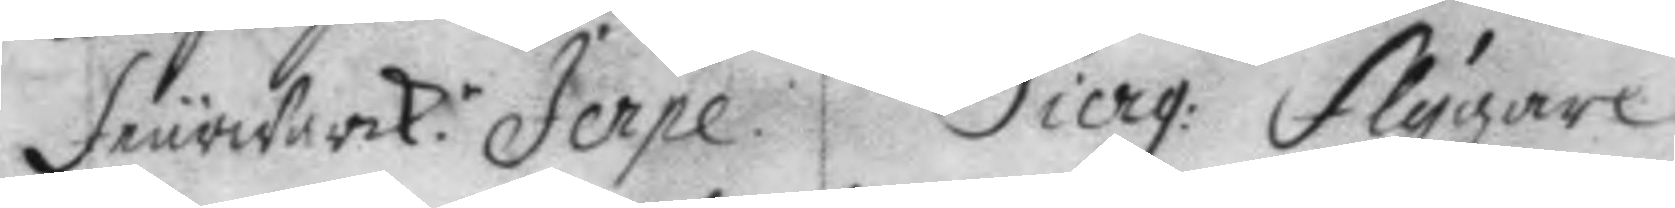Feurwärk.r Jerpe. Sierg: Flygare 
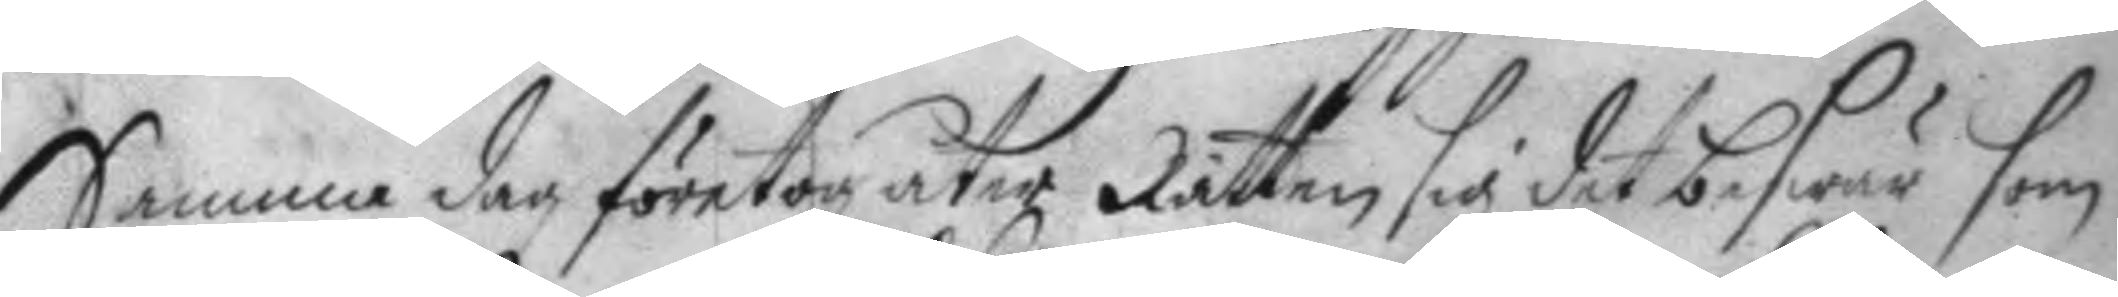Samma dag företog åter Rätten sig det beswär som
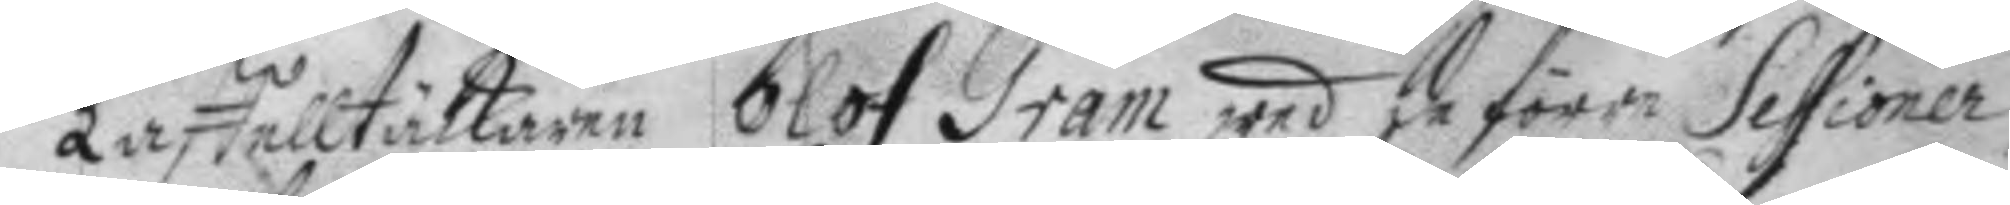Taffelltäckaren Olof Gram wed de förre Sessioner
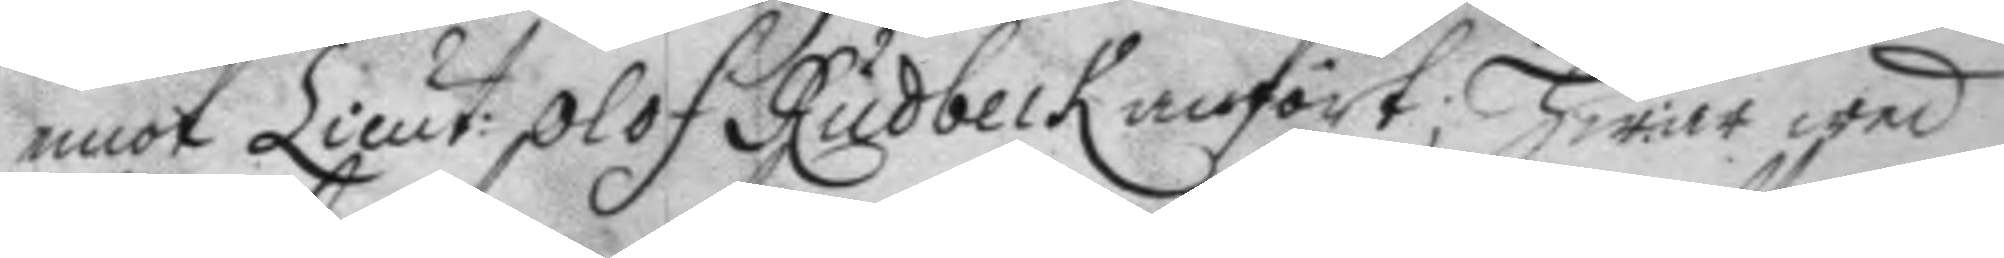emot Lieut: Olof Rudbeck anfört; Hwar wed 
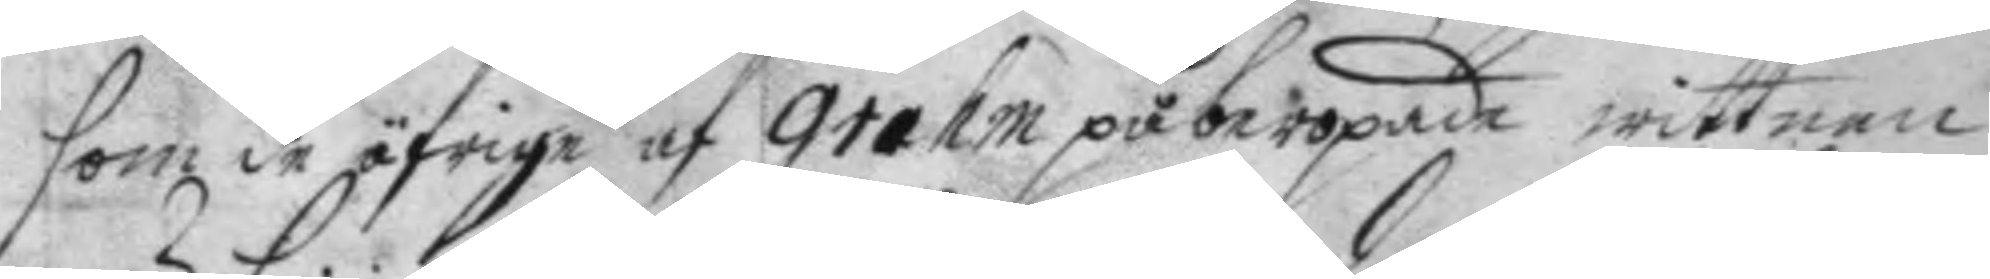som de öfrige af Grahm påberopade wittnen
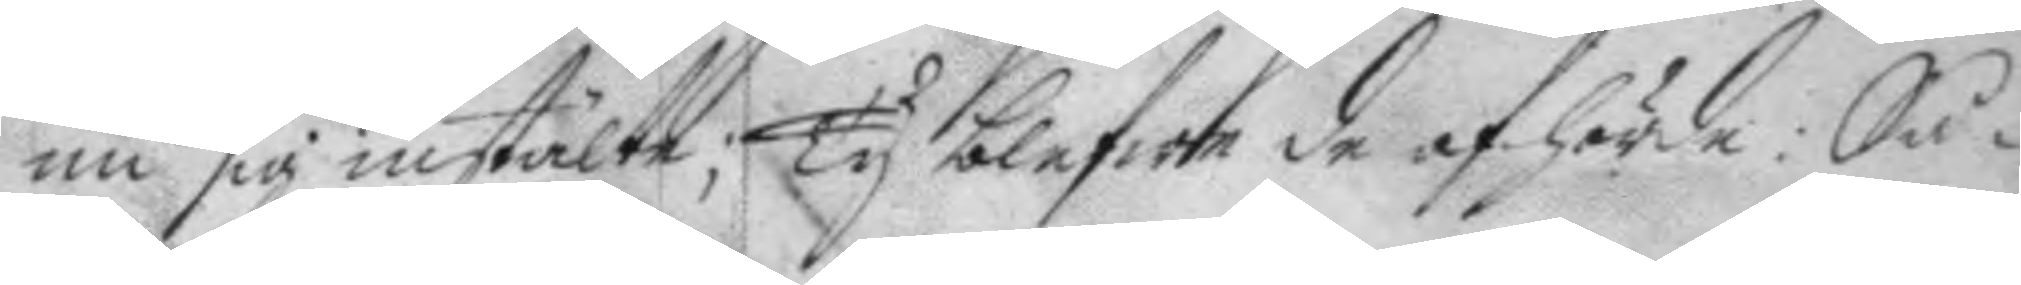nu sig instälte; Ty blefwe de afhörde: Så¬
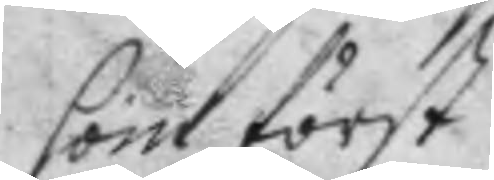som först
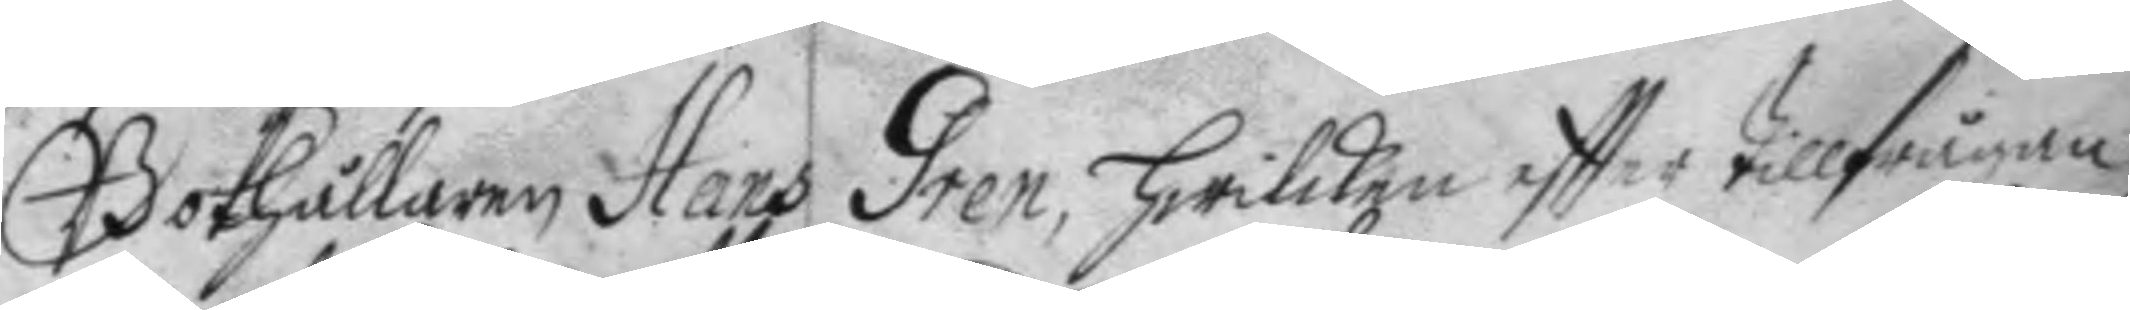Bokhållaren Hand Gren, hwilcken effter tillfrågan
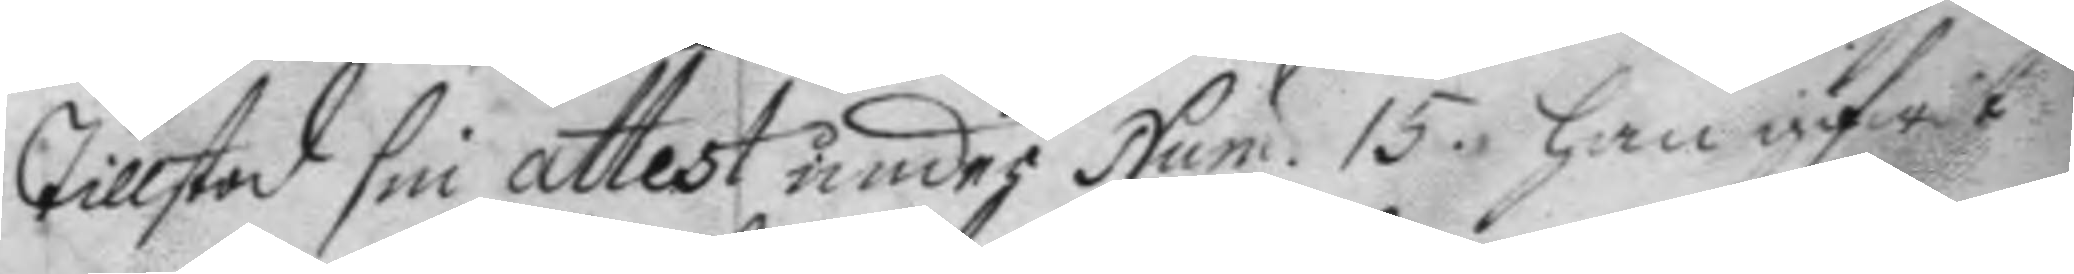Tillstod sin attest under Num. 15. han gifwit 
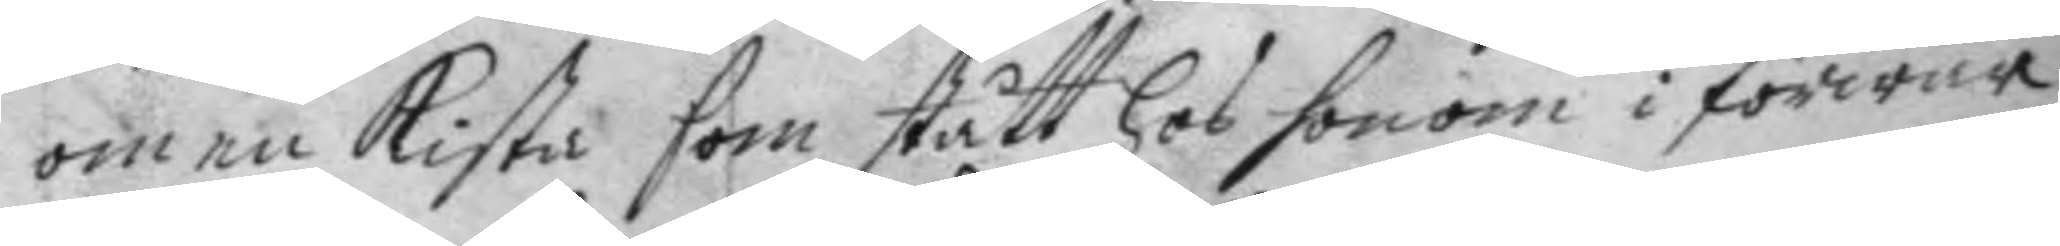om en Kista som stått hos honom i förwar
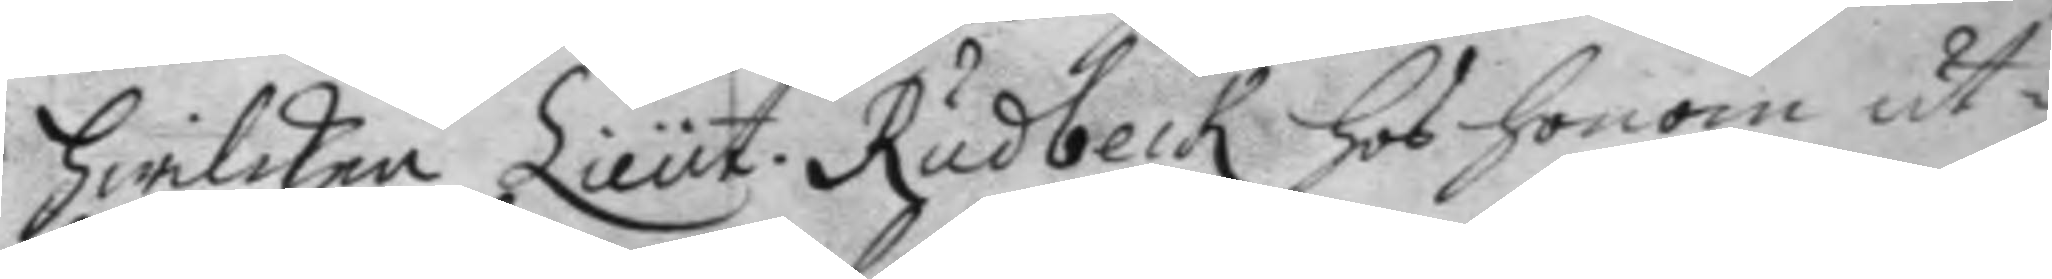hwilken Lieut: Rudbeck hos honom ut¬
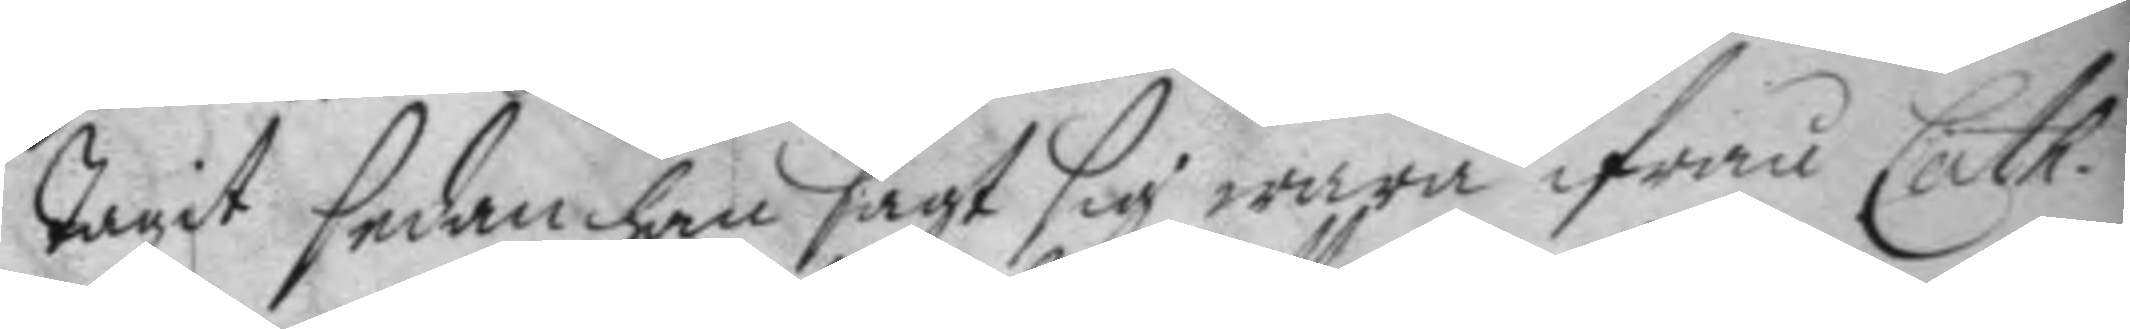tagit sedan han sagt sig wara ifrån Cath.
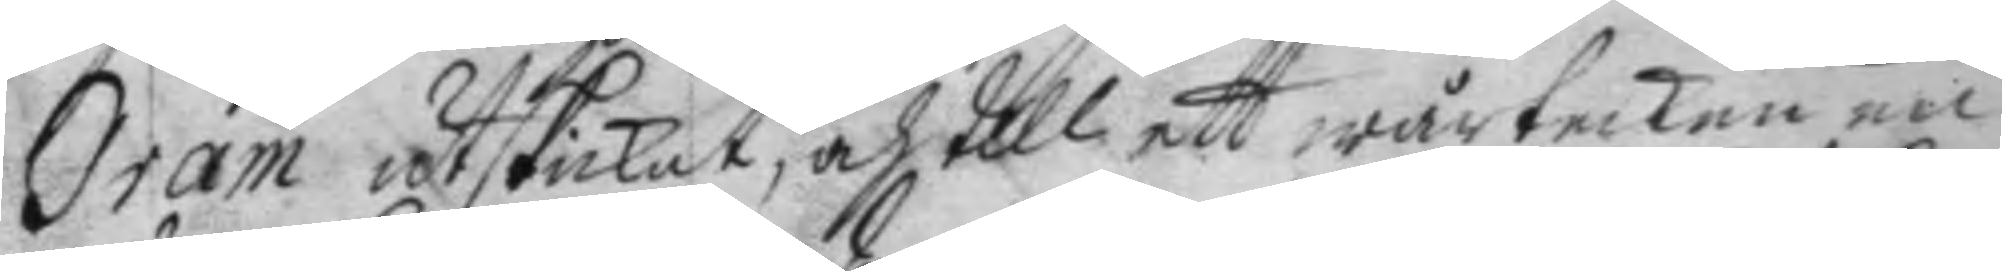Gram utskickat, och till ett wårtecken en
